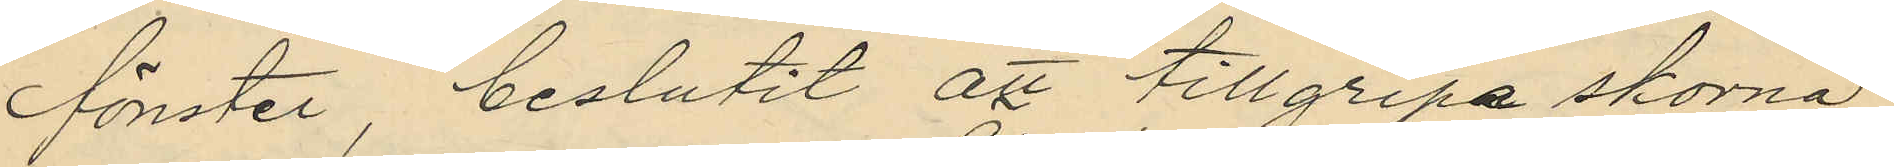fönster, beslutit att tillgripa skorna
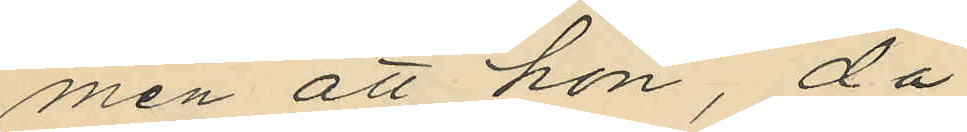men att hon, då
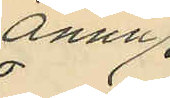ännu
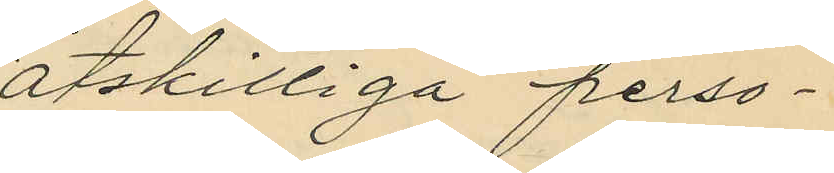åtskilliga perso¬
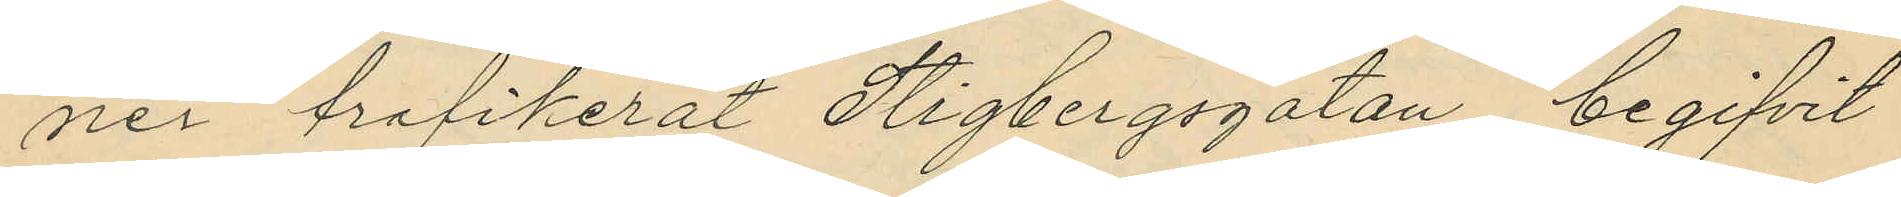ner trafikerat Stigbergsgatan, begifvit
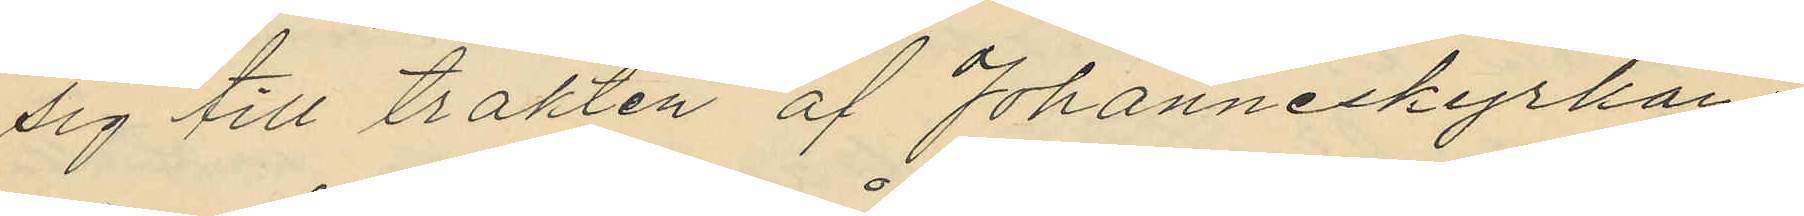sig till trakten af Johanneskyrkan
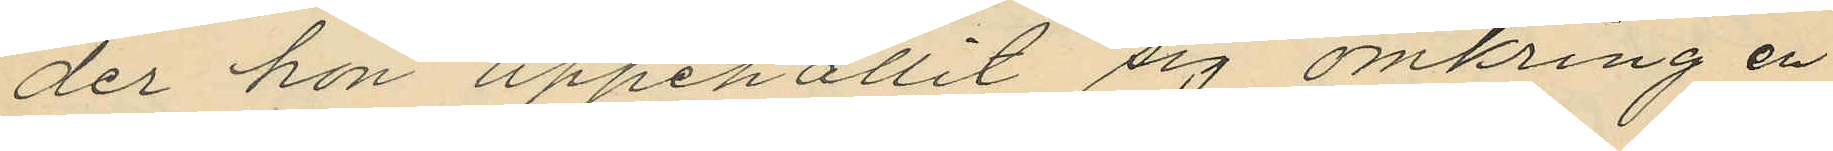der hon uppehållit sig omkring en
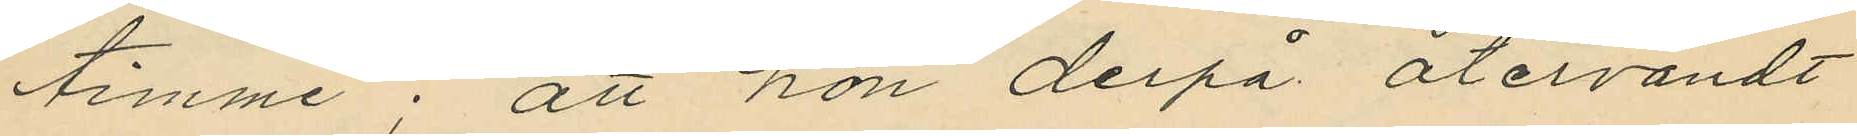timme; att hon derpå återvändt
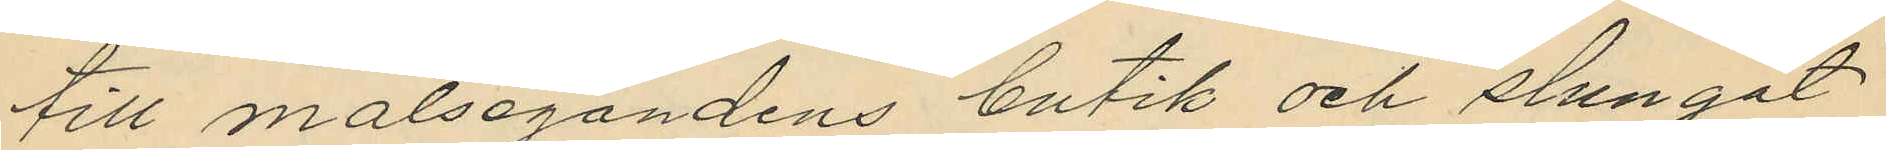till målsegandens butik och slungat
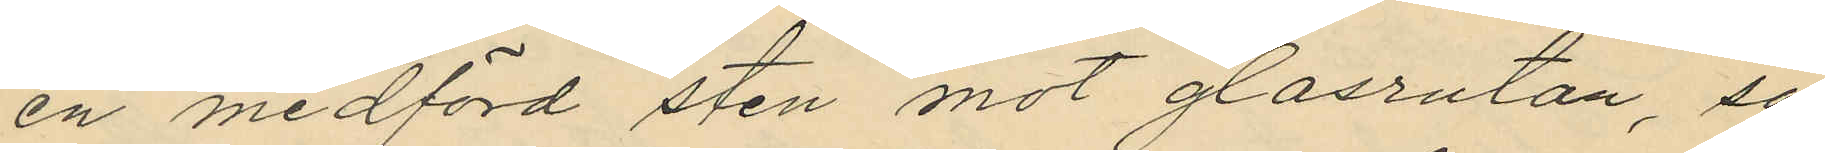en medförd sten mot glasrutan, så
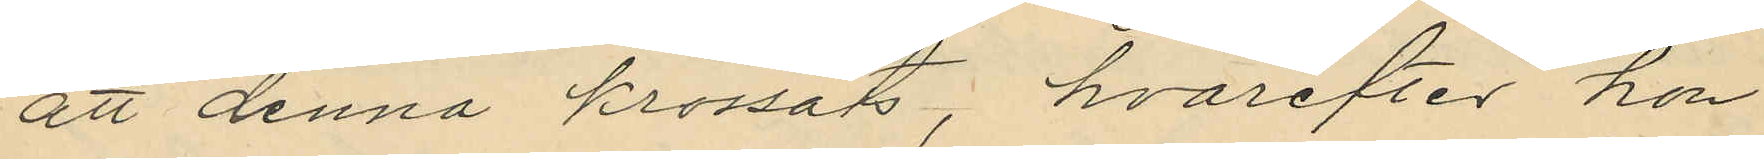att denna krossats, hvarefter hon
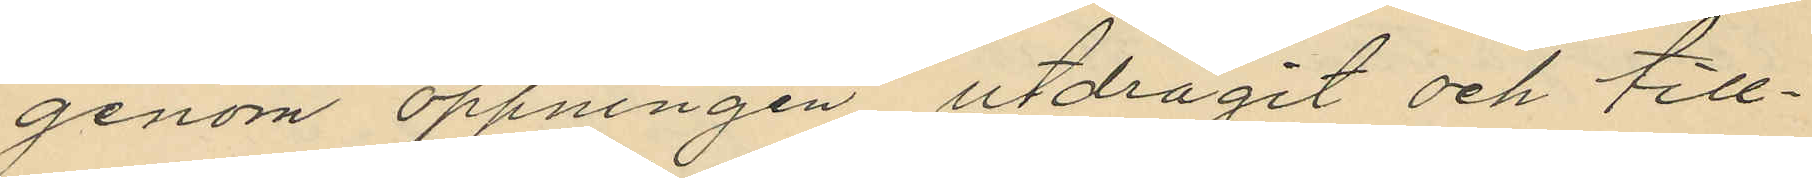genom öppningen utdragit och till¬
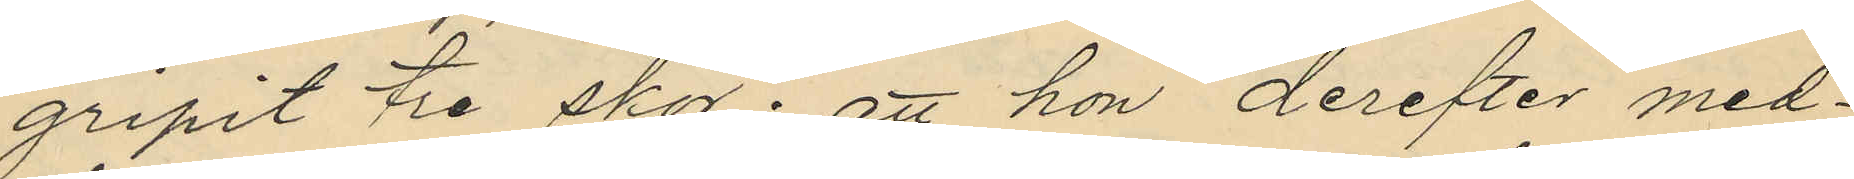gripit tre skor; att hon derefter med¬
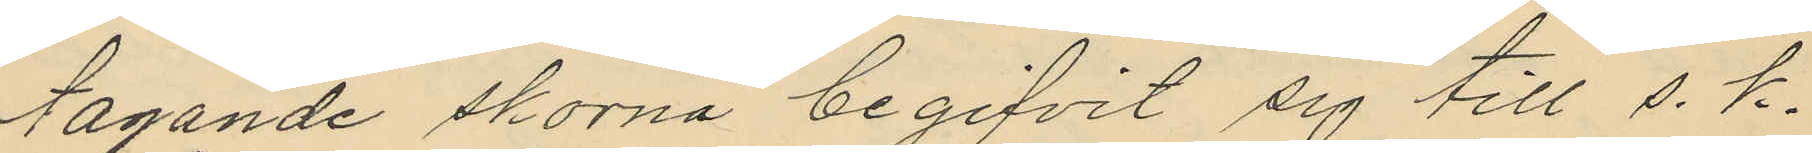tagande skorna begifvit sig till s. k.
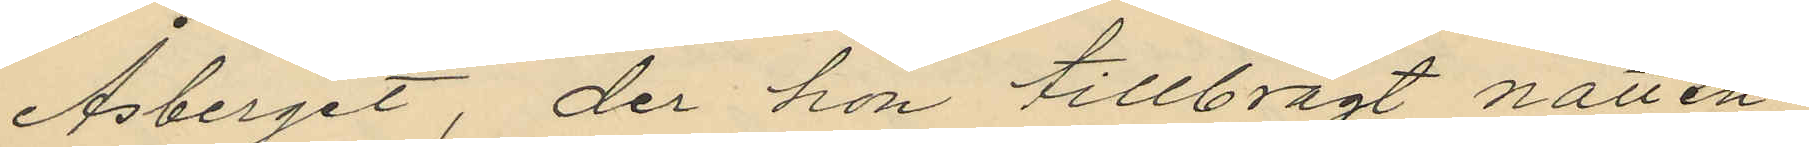Åsberget, der hon tillbragt natten
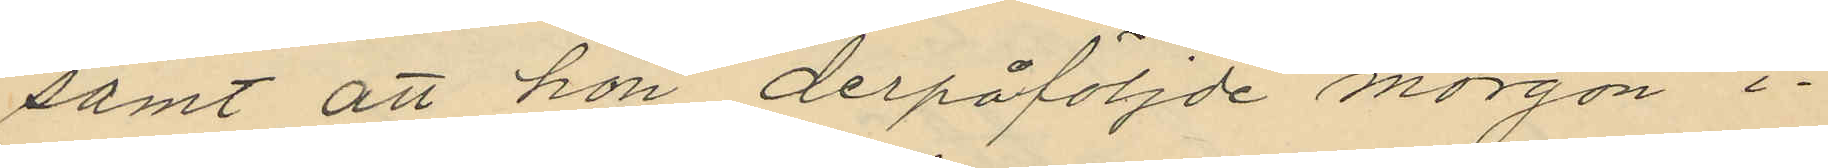samt att hon derpåföljde morgon i¬
